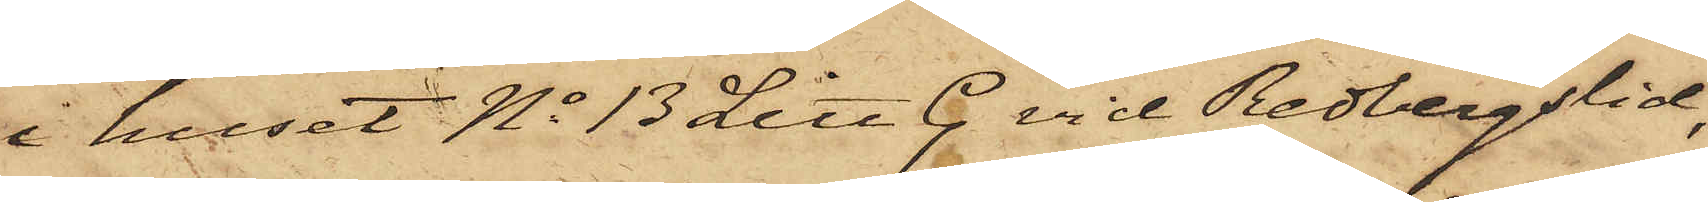i huset No 13 Litt C. vid Redbergslid,
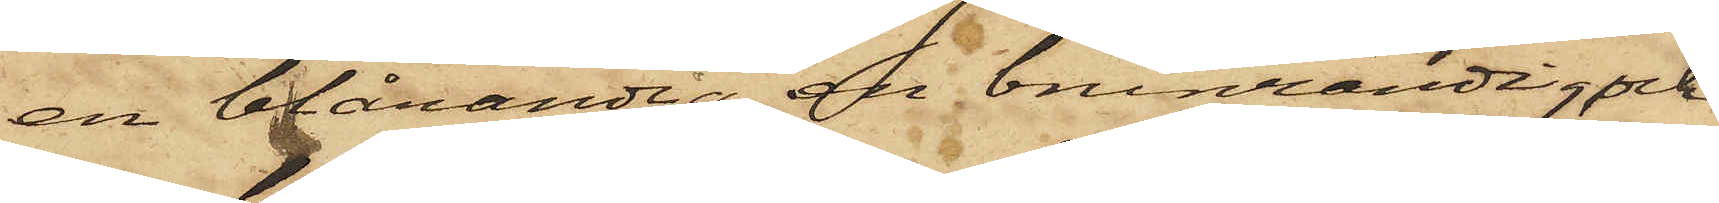en blårandig, en brunrandig och
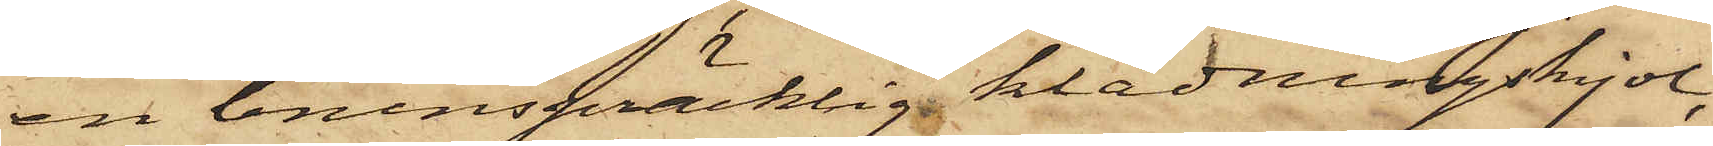en brunspräcklig klädningskjol,
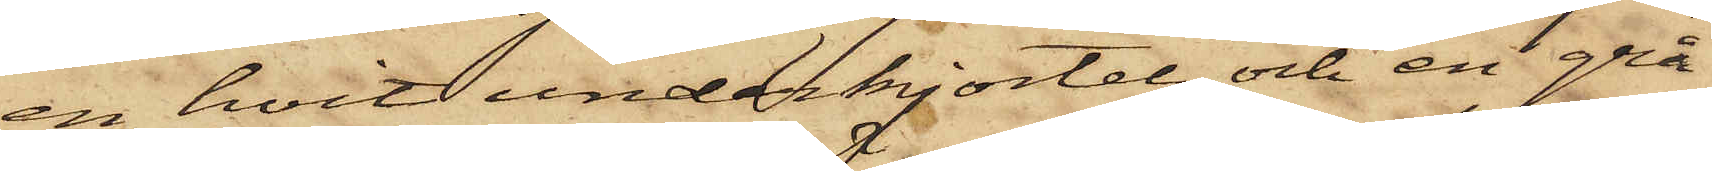en hvit underkjortel och en grå
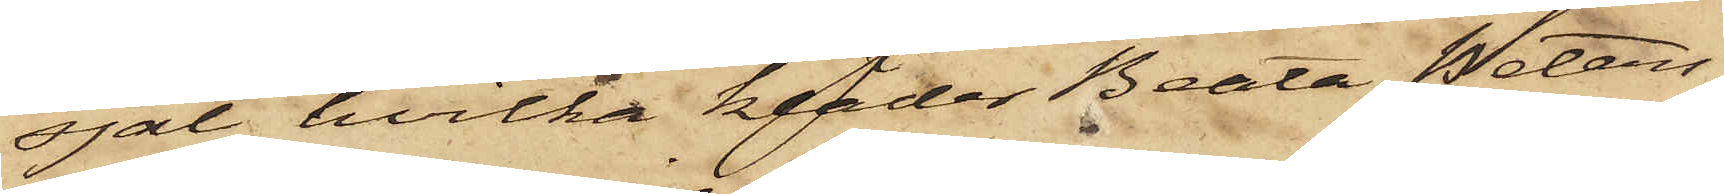sjal, hvilka kläder Beata Peters¬
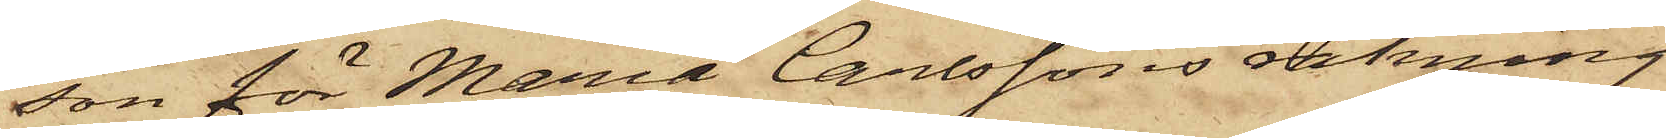son för Maria Carlssons räkning
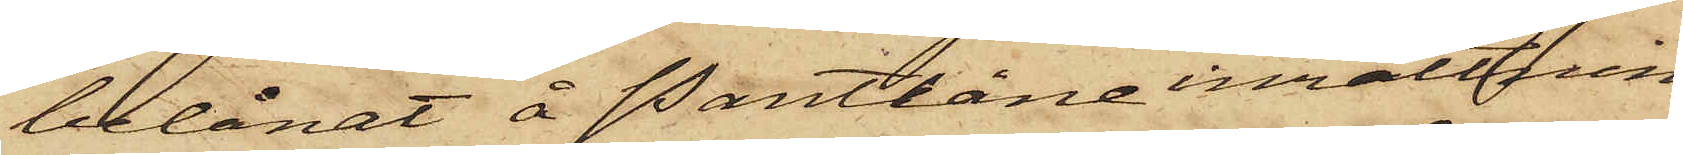belånat å Pantlåneinrättnin¬
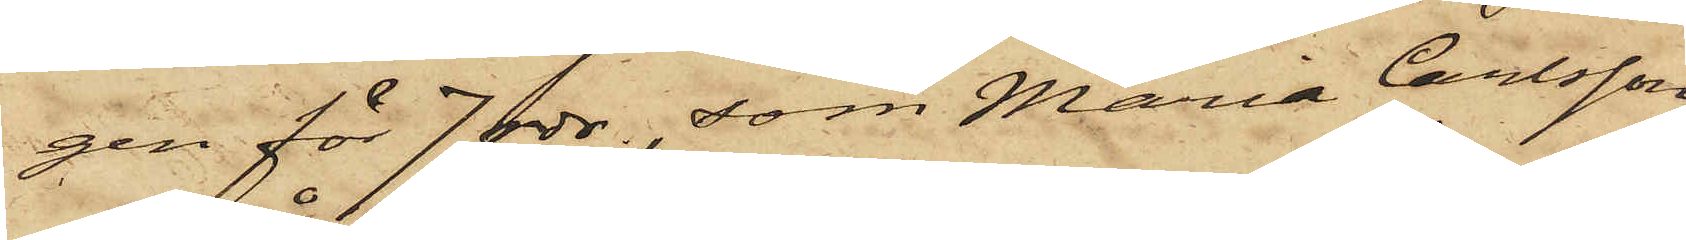gen för 7 rdr., som Maria Carlsson
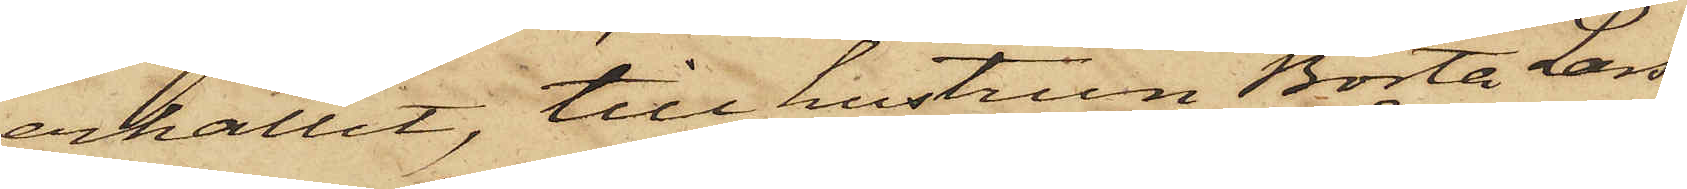erhållit, till hustrun Börta Lars¬
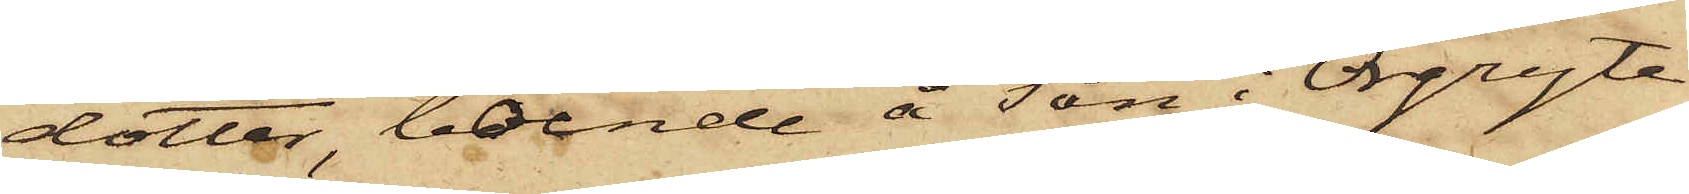dotter, boende å Tån i Örgryte
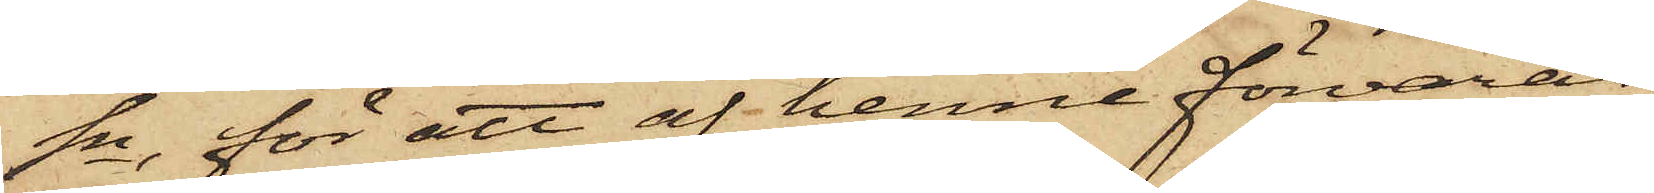Sn, för att af henne förvaras,
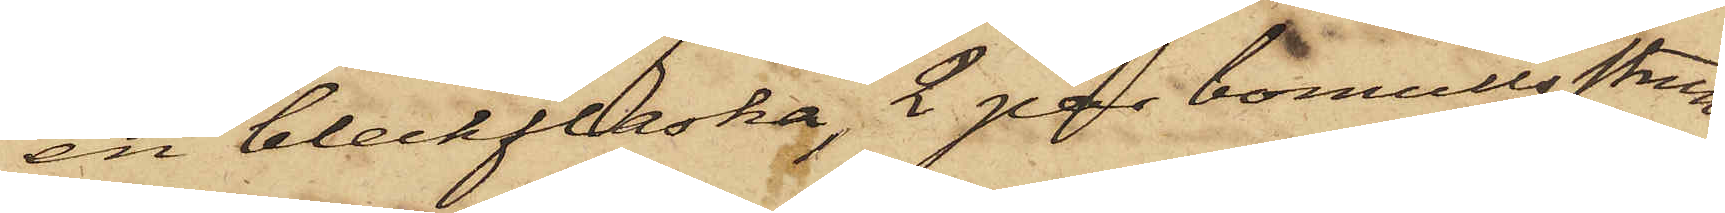en bleckflaska, 2 par bomullsstrum¬
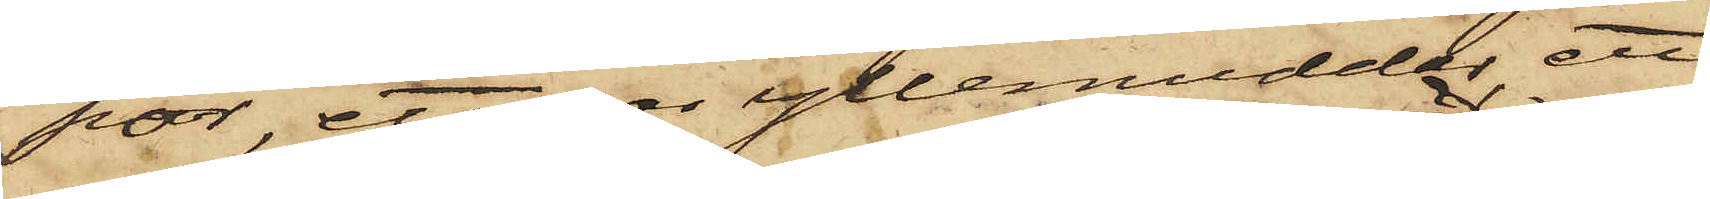por, ett par yllemuddar, ett
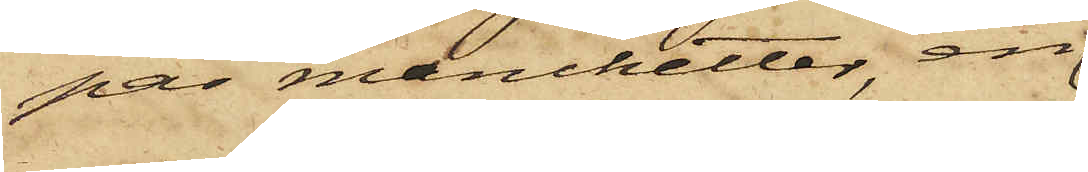par manchetter, en
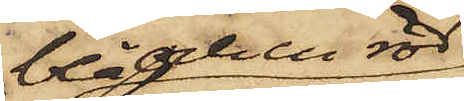blå och en röd
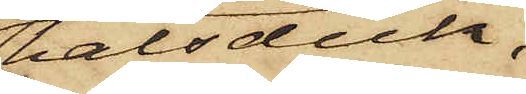halsduk,
